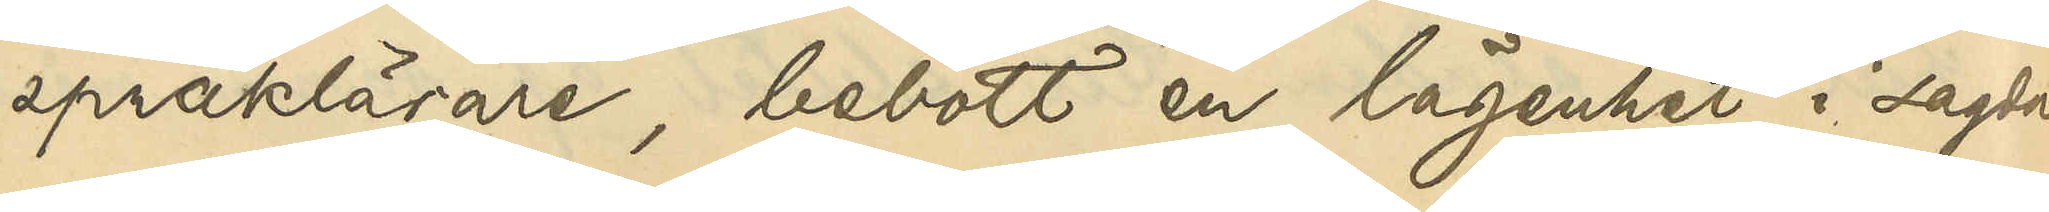språklärare, bebott en lägenhet i sagda
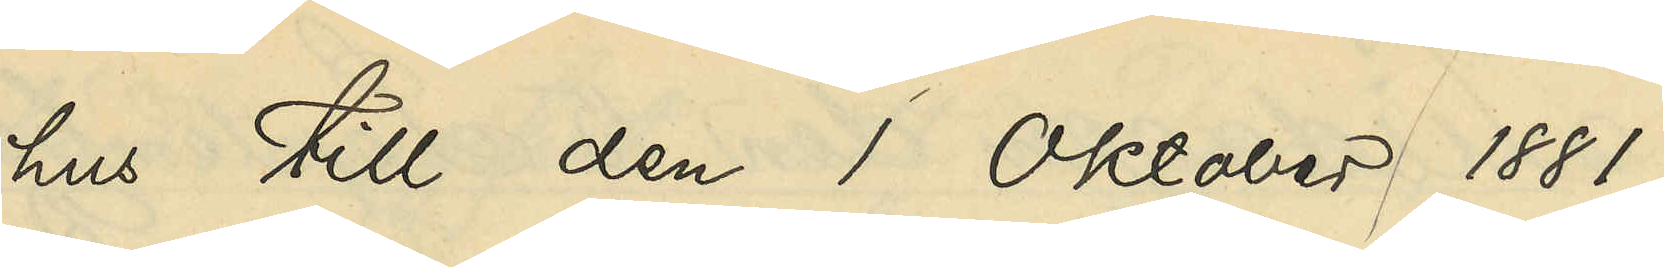hus till den 1 Oktober 1881,
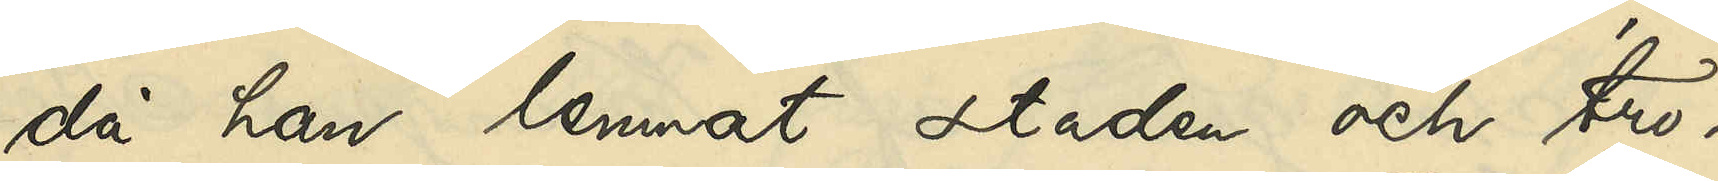då han lemnat staden och tro¬
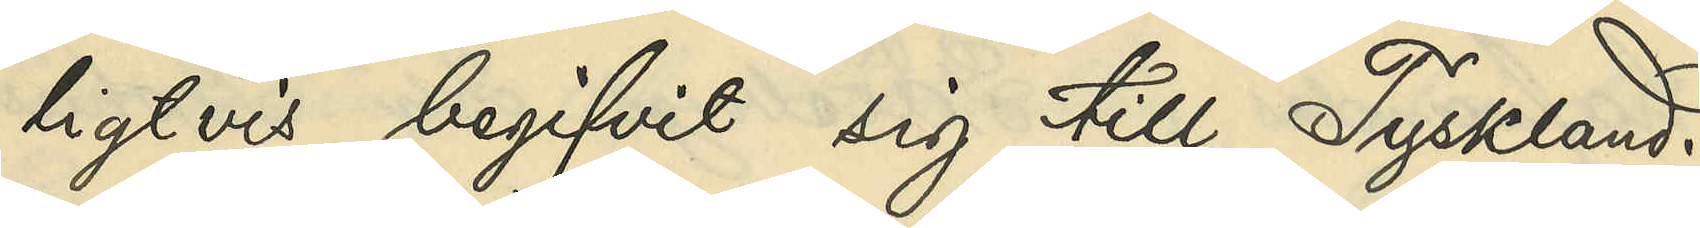ligtvis begifvit sig till TYskland.
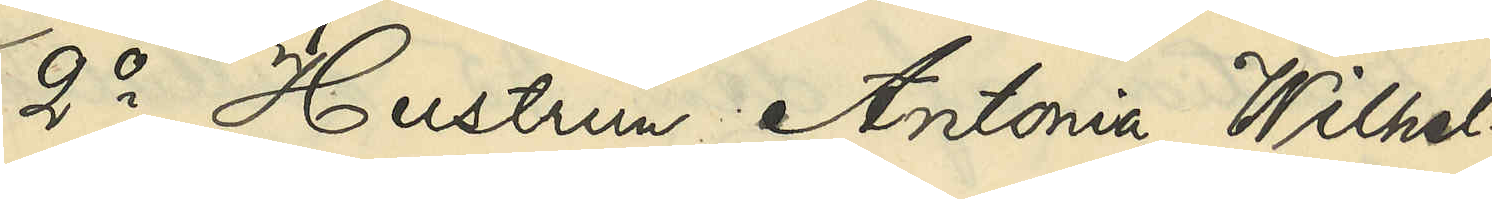2o Hustrun Antonia Wilhel¬
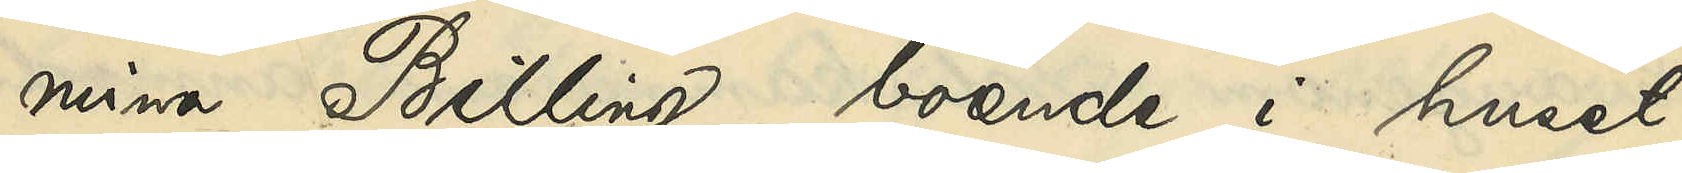mina Billing, boende i huset
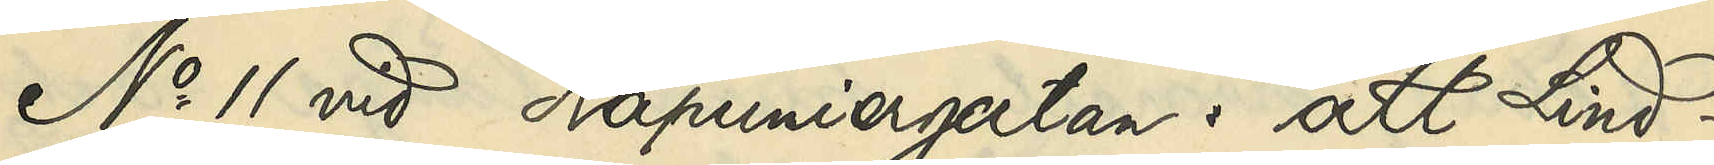No 11 vid Kapuniergatan: att Lind¬
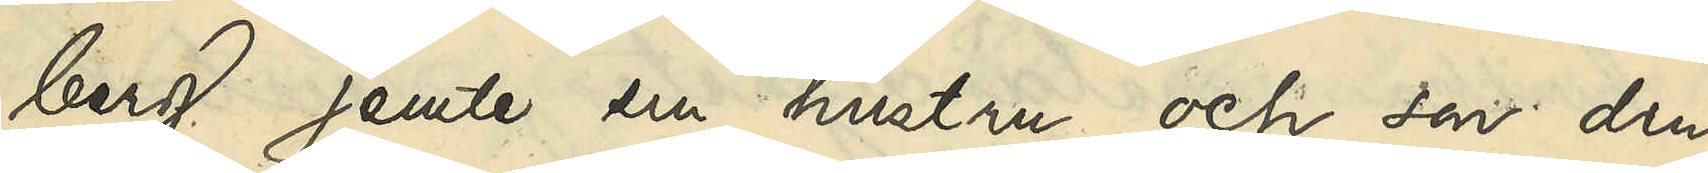berg jemte sin hustru och son den
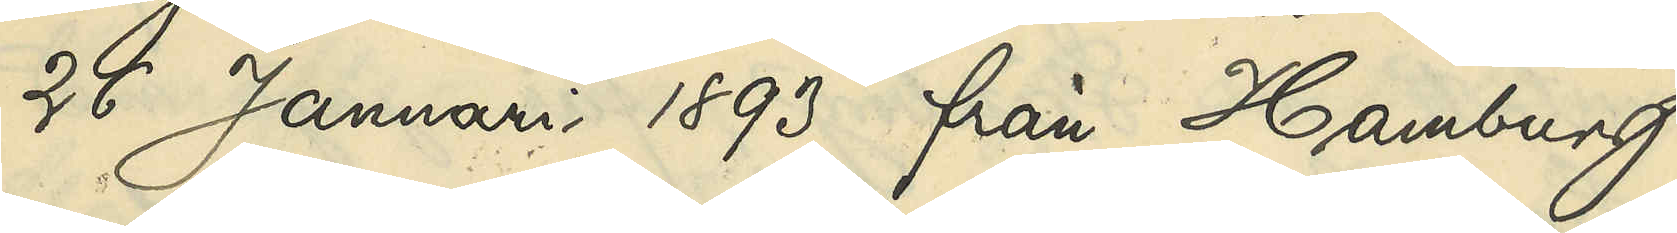26 Januari 1893 från Hamburg
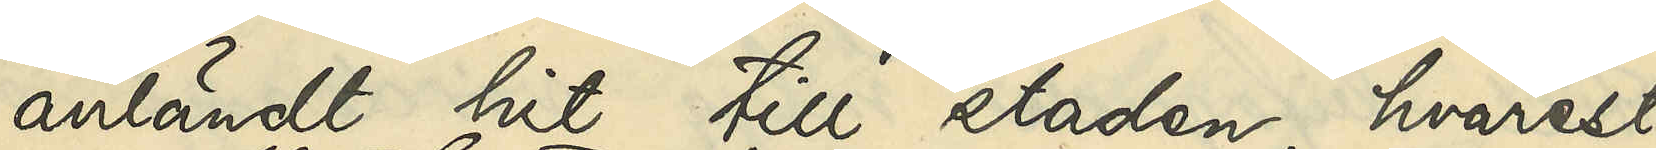anländt hit till staden, hvarest
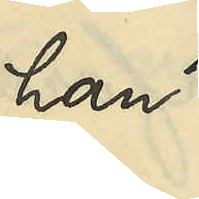han
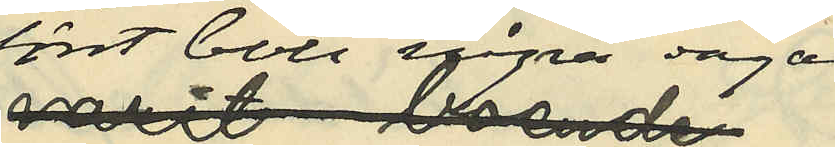först bott några dagar
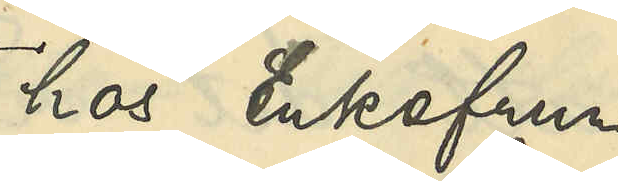hos Enkefru
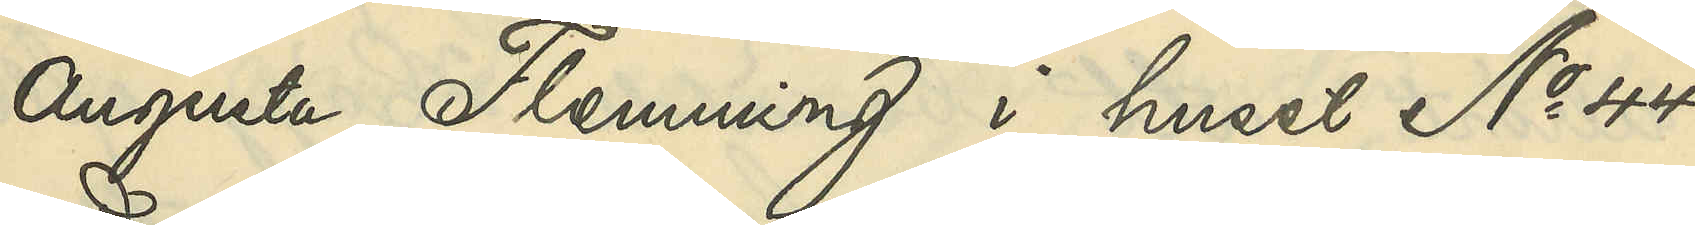Augusta Flemming i huset No 44
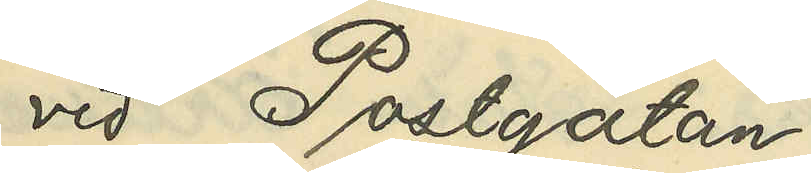vid Postgatan
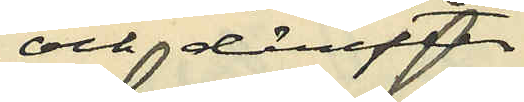och derefter
